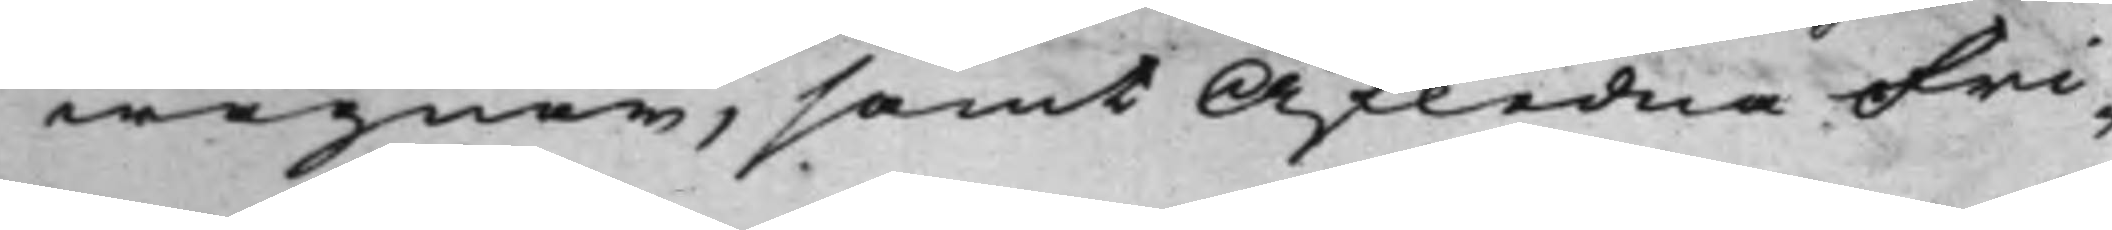wägnar, samt Afledne Fri¬
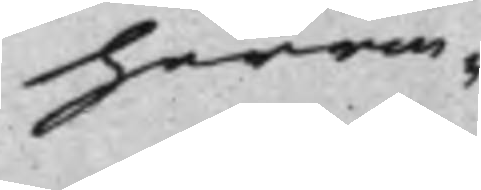herrin¬
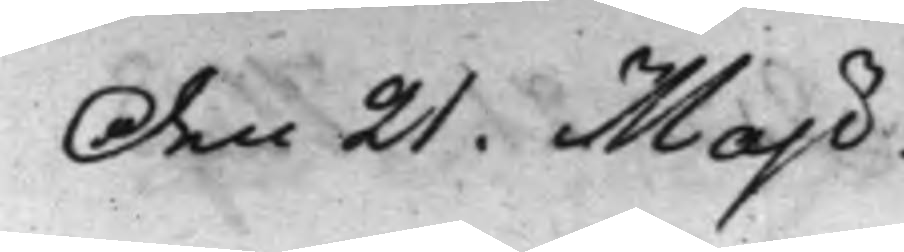Den 21. Maji.
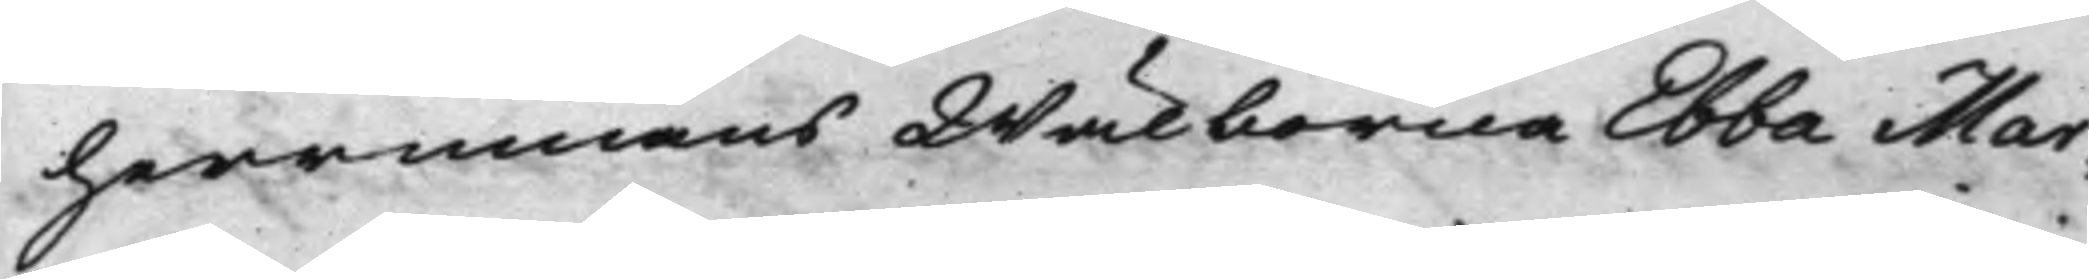herrinnans Wälborna Ebba Mar¬
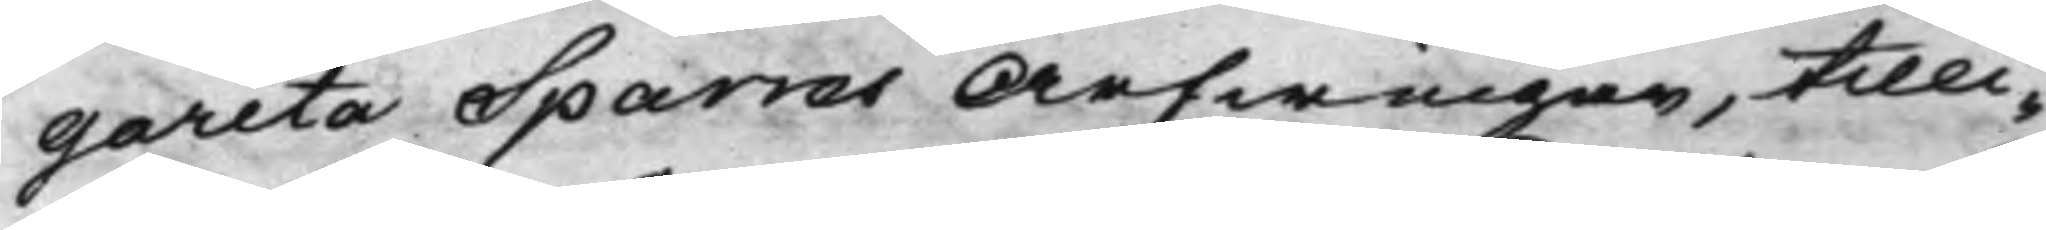gareta Sparres Arfwingar, tilli¬
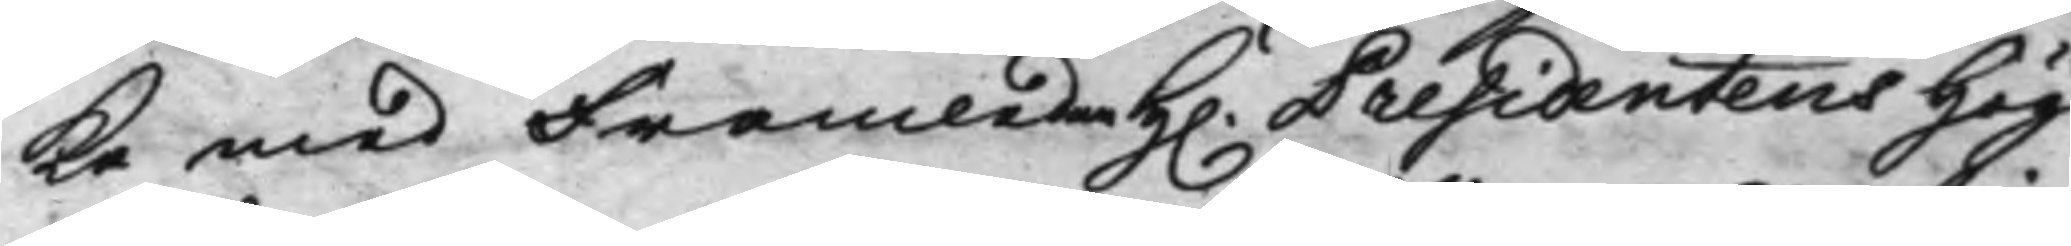ka med Framledne H. Presidentens Hög¬
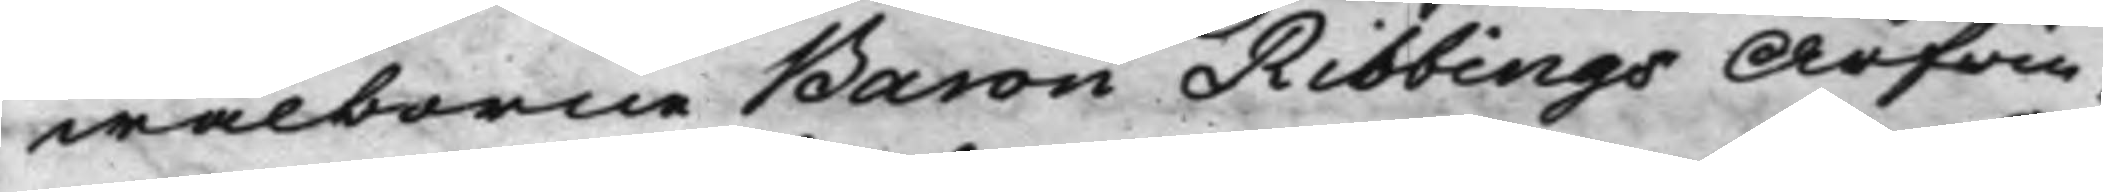wälborne Baron Ribbings Arfvin¬
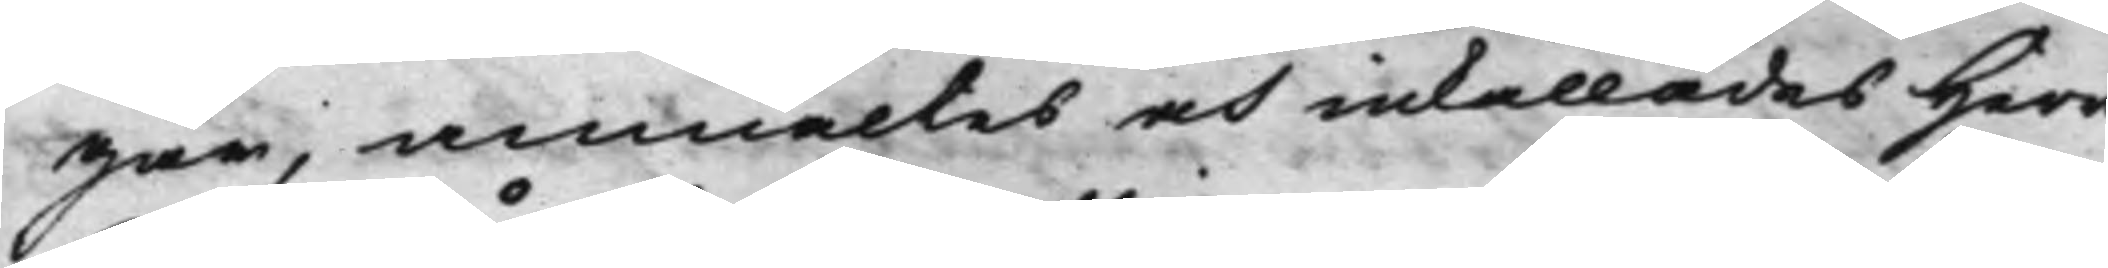gar, anmältes och inkallades Herr
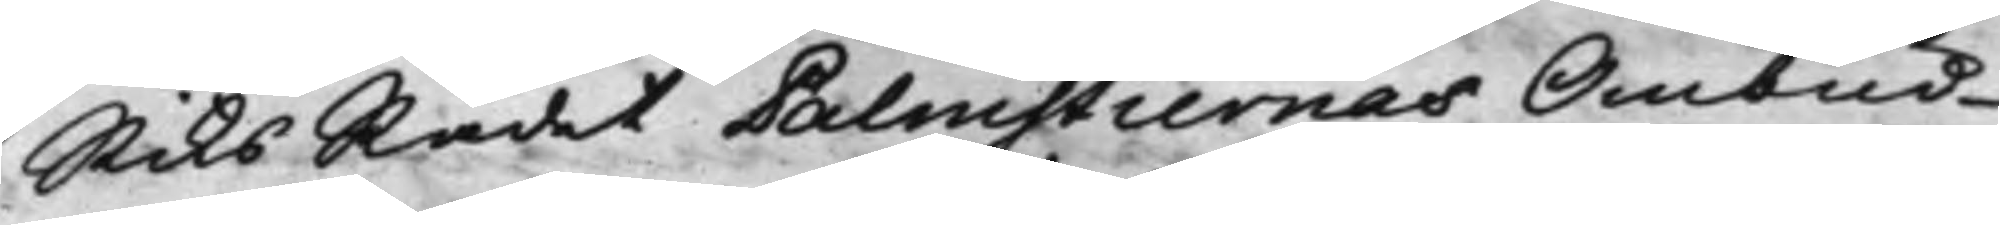RiksRådet Palmstiernas Ombud
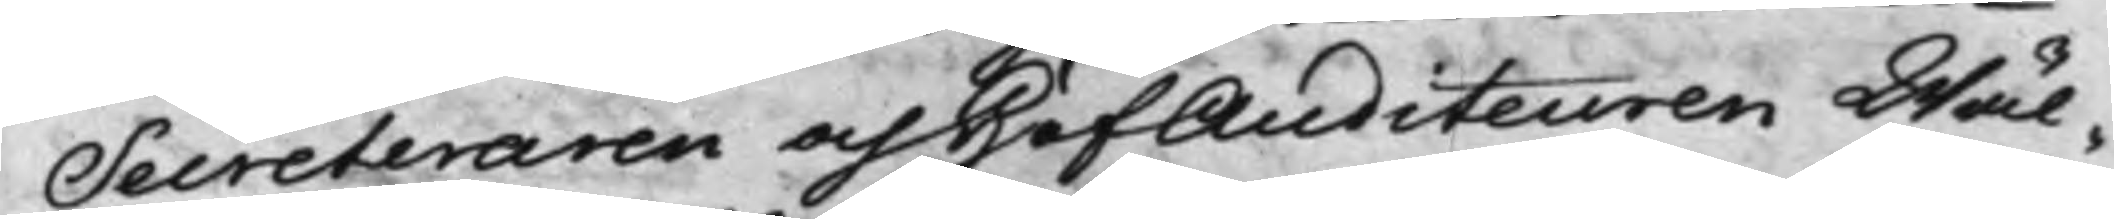Secreteraren och HofAuditeuren Wäl¬
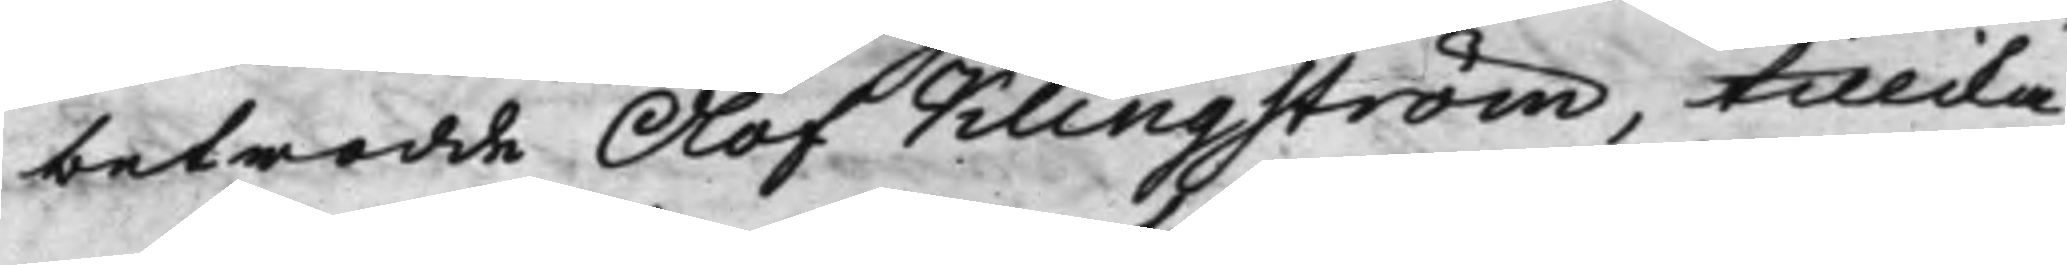betrodde Olof Klingström, tillika
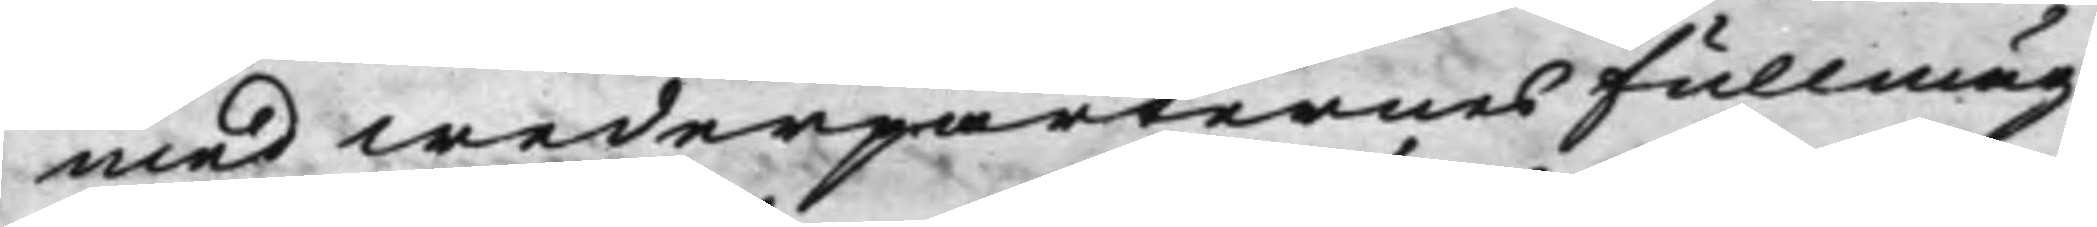med wederparternes fullmäg¬
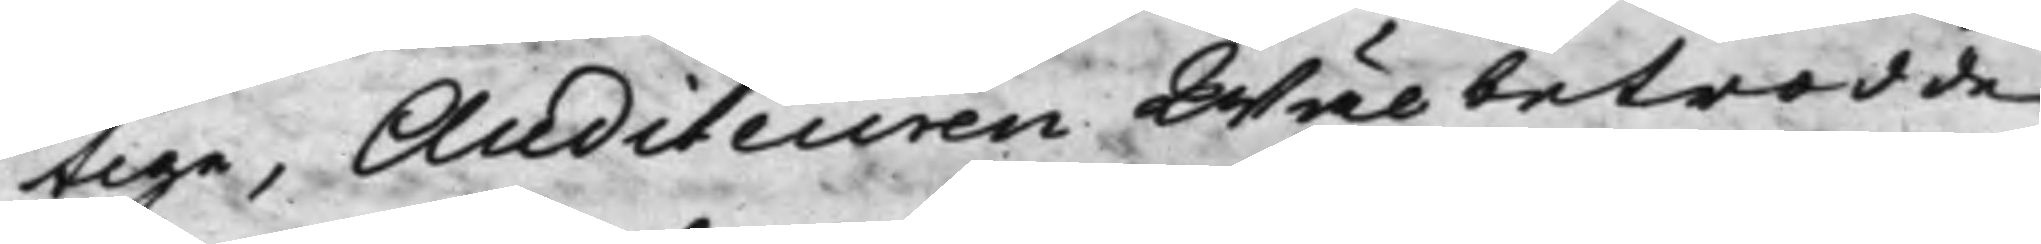tige, Auditeuren Wälbetrodde
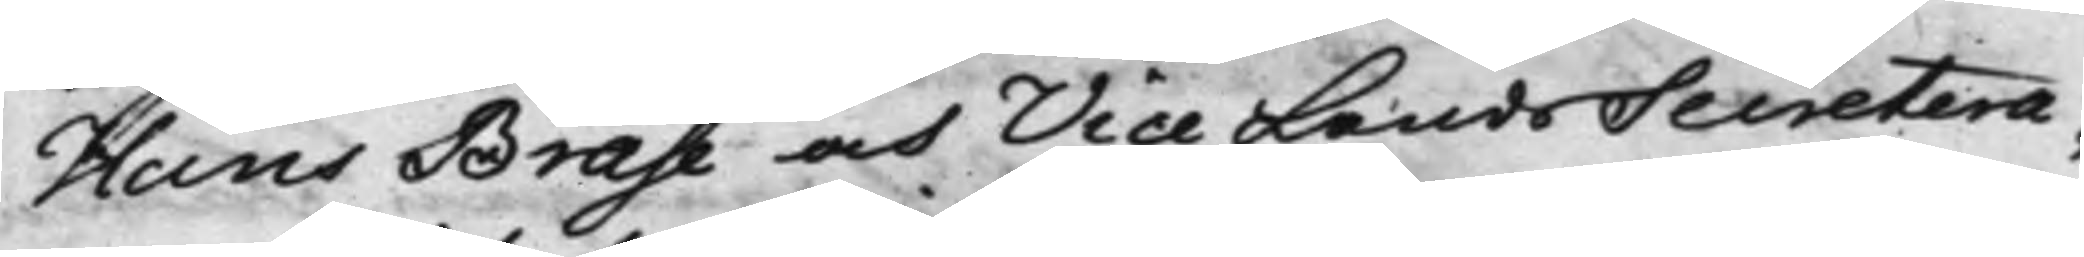Hans Brase och Vice LandsSecretera¬
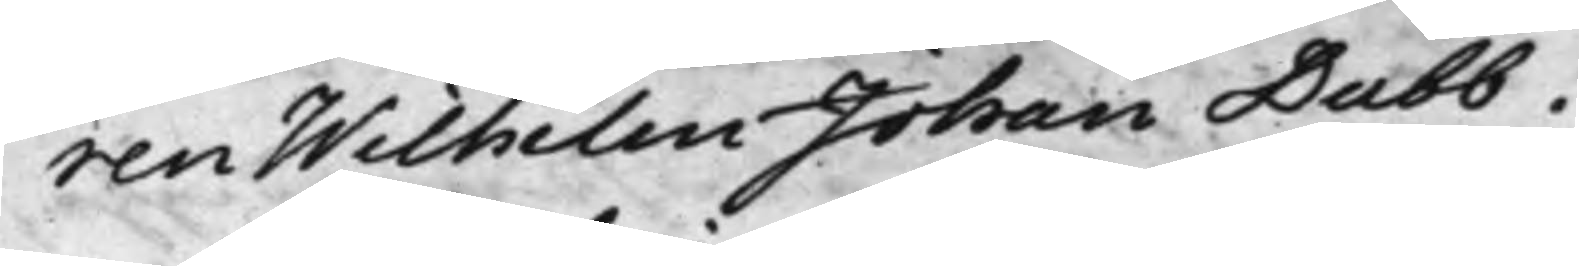ren Wilhelm Johan Dubb.
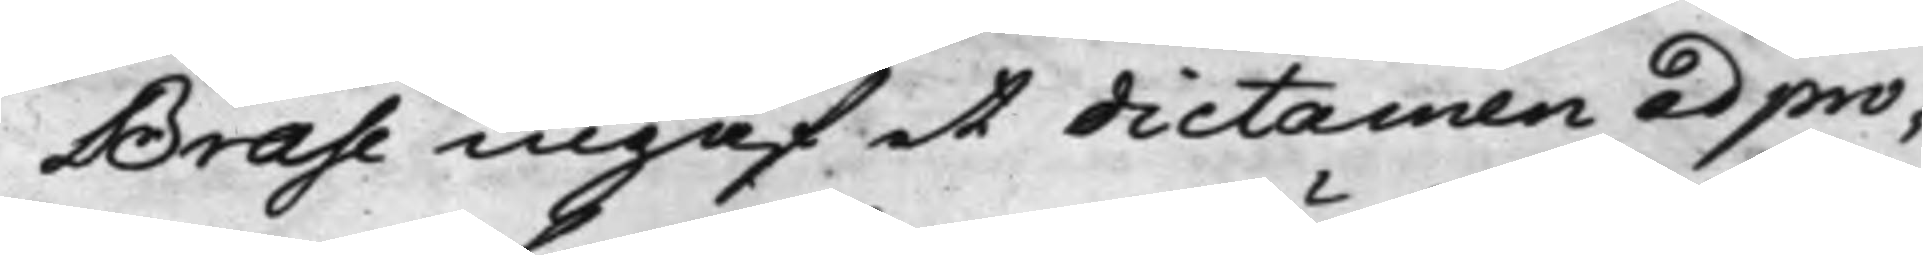Brase ingaf et dictamen ad pro¬
